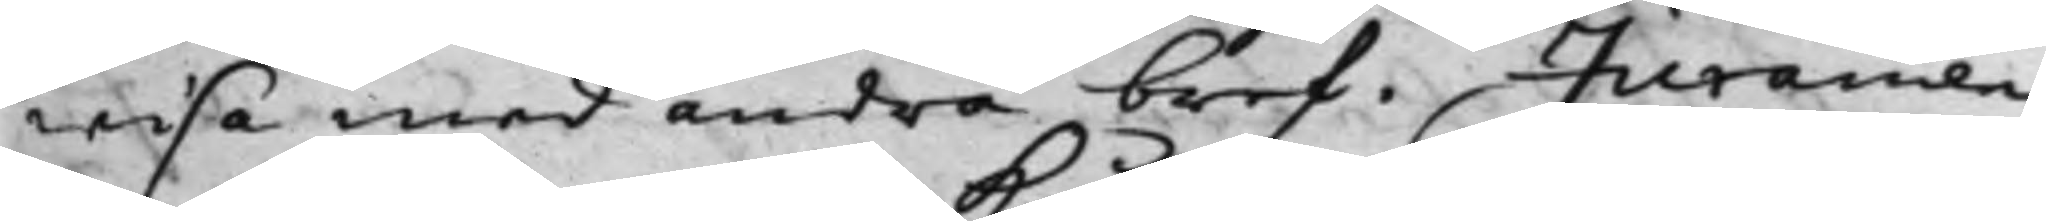wisa med andra bref, Juramen¬
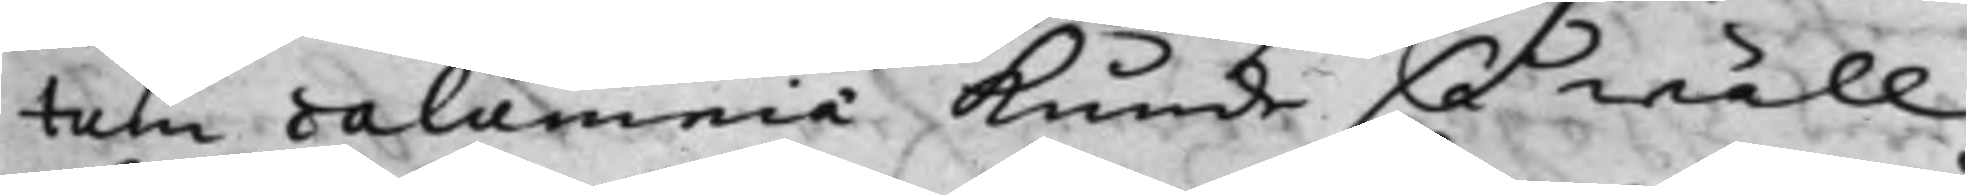tum calumnia Kunde så wäll
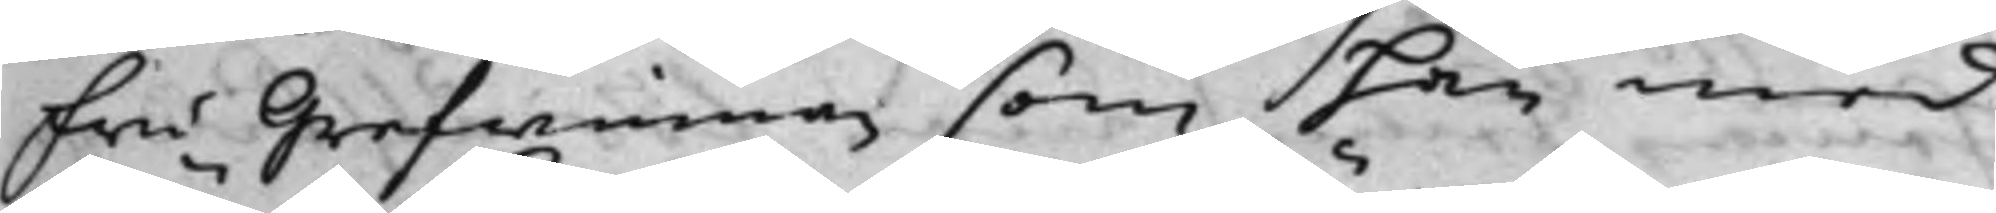fru Grefwinnan som han med
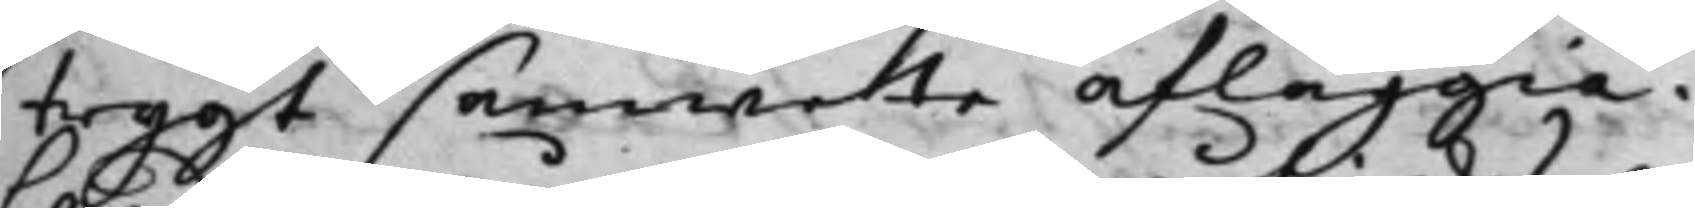trygt samwete afläggia.
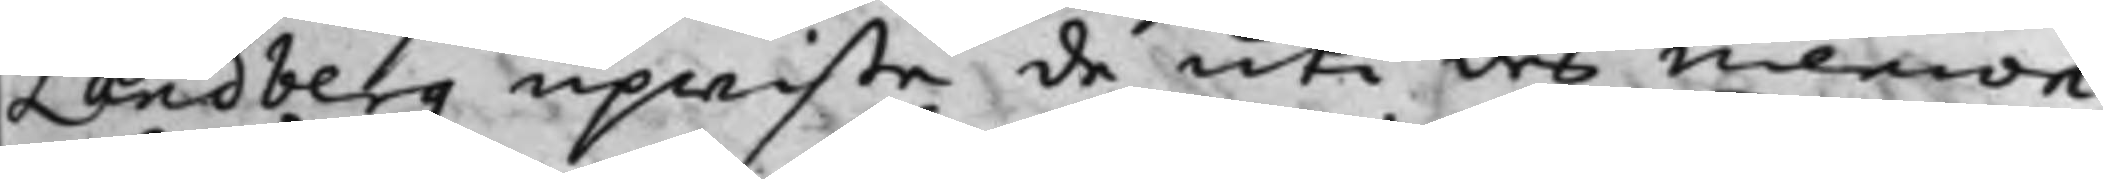Landberg upwiste de uti des memori¬
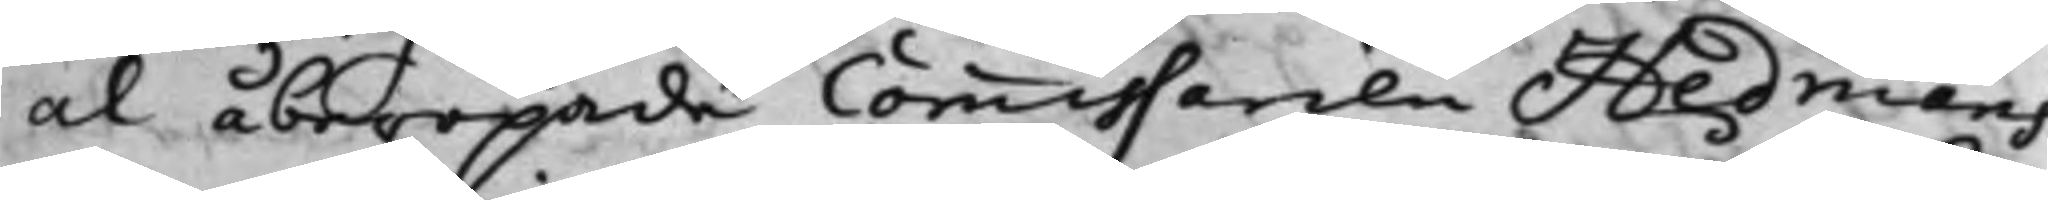al åberopade Commissarien Hedmans
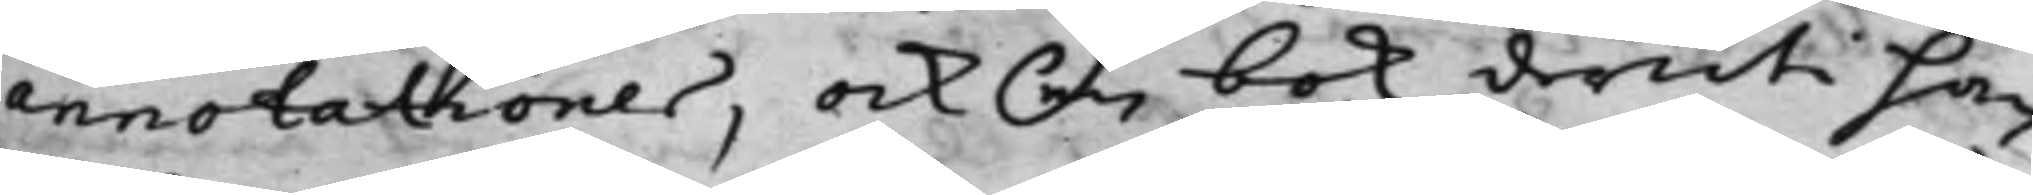annotationer, ock en bok deruti han
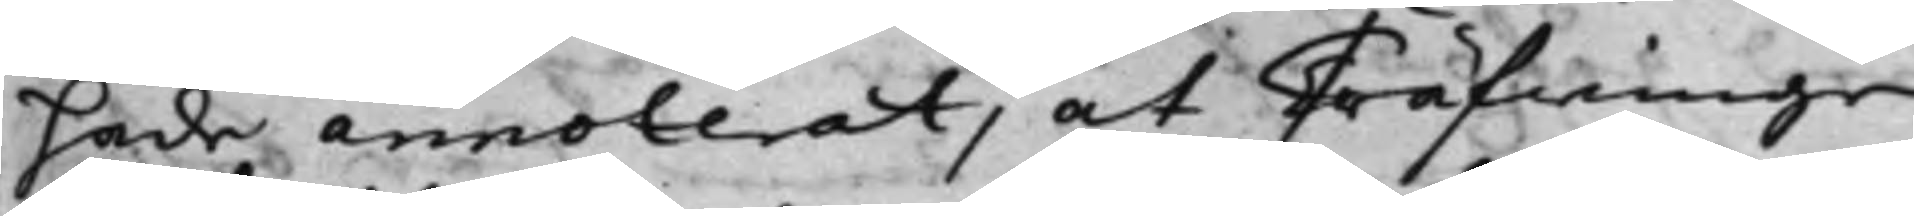hade annoterat, at Träfwinge
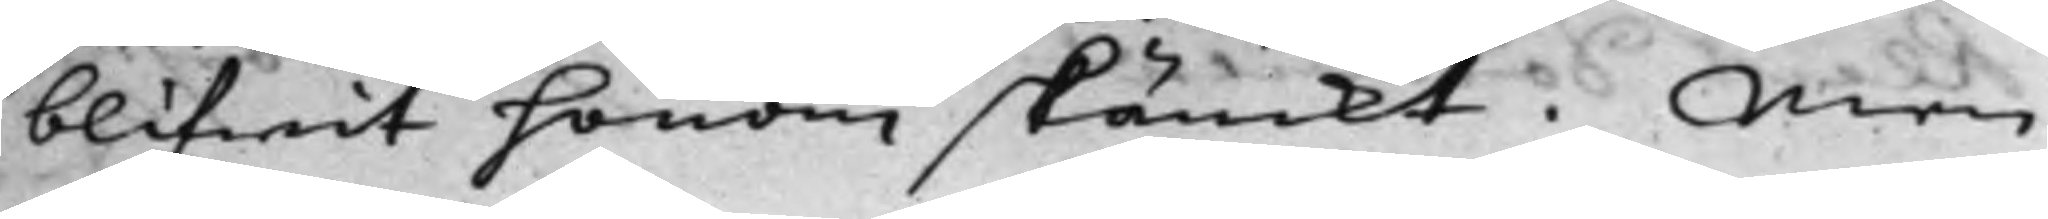blifwit honom skänckt. Men
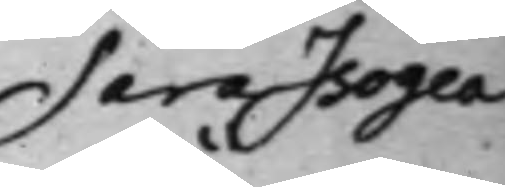Sara Isogea
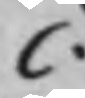C.
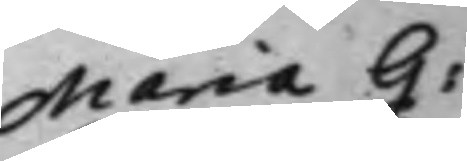Maria G:
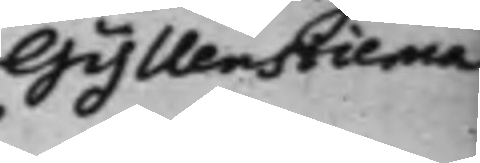Gyllenstierna
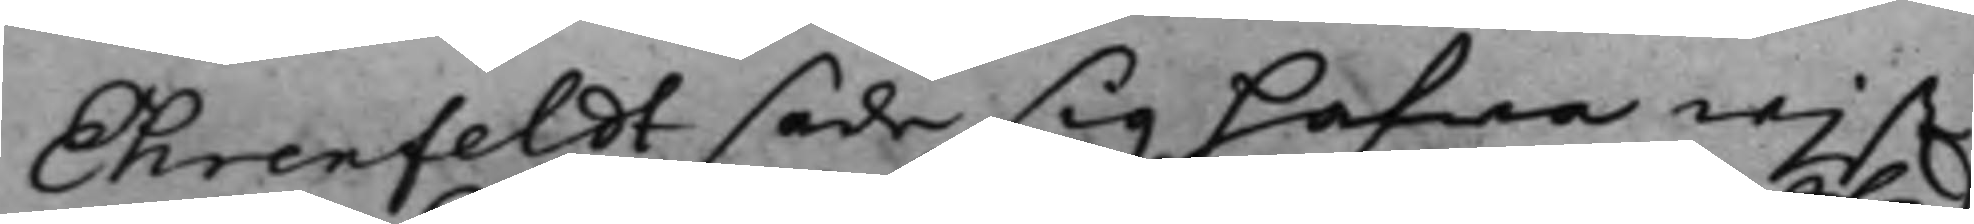Ehrenfeldt sade sig hafwa wist
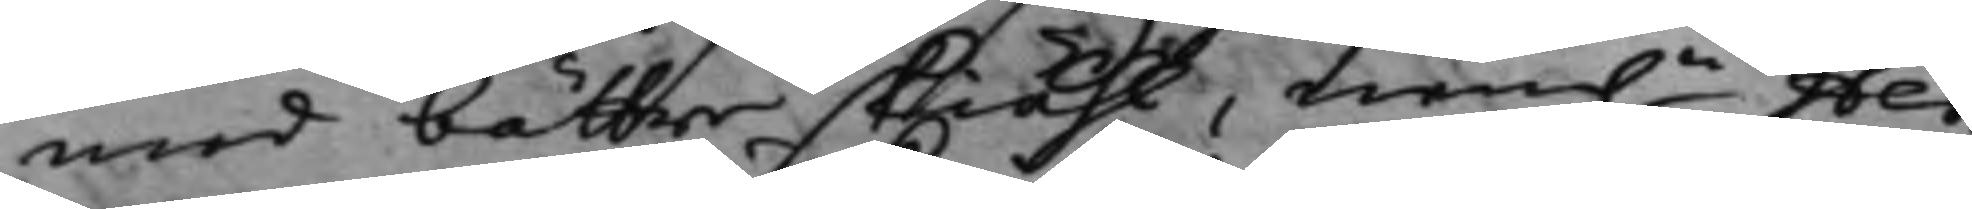med bättre skiäl, nem.n Hed¬
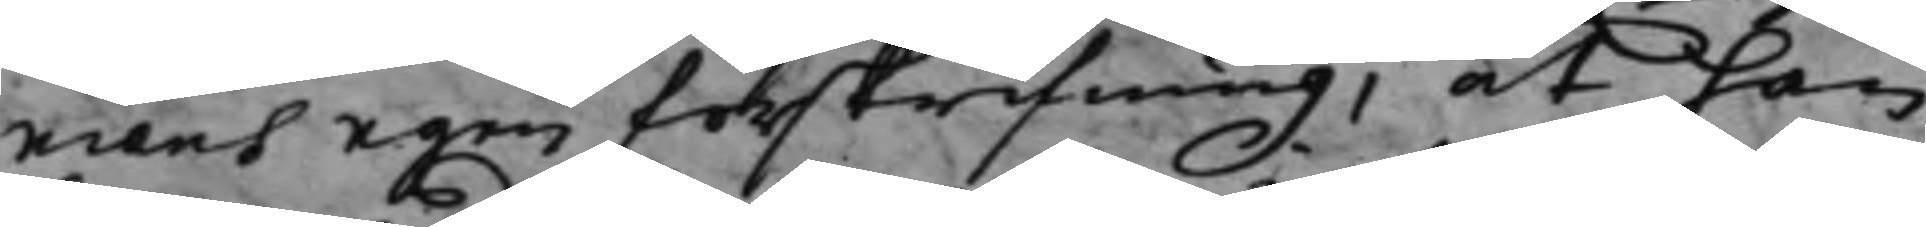mans egen förskrifning, at han
